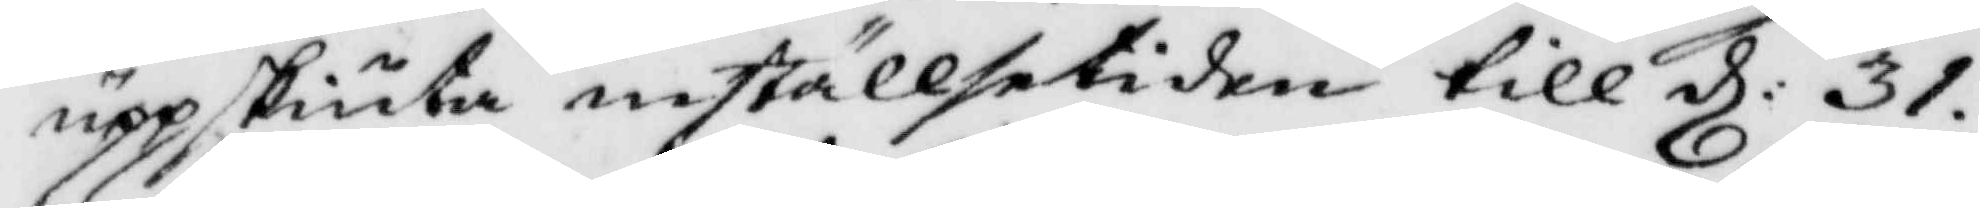uppskiuta inställelsetiden till d: 31.
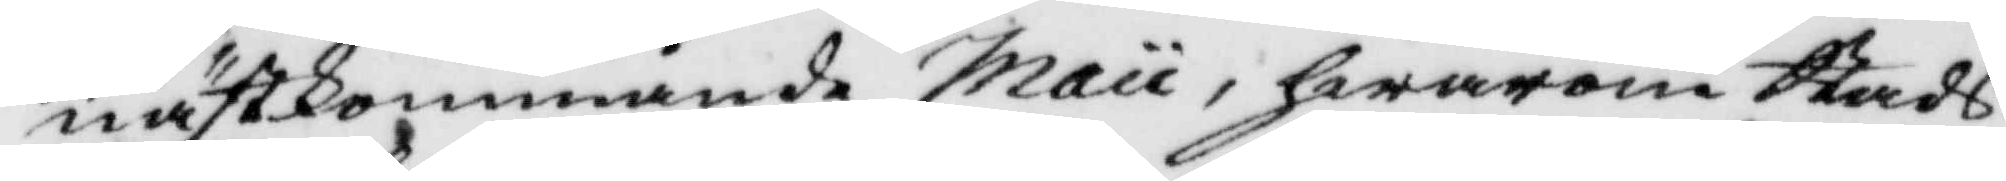nästkommande Maii, hwarom Stads¬
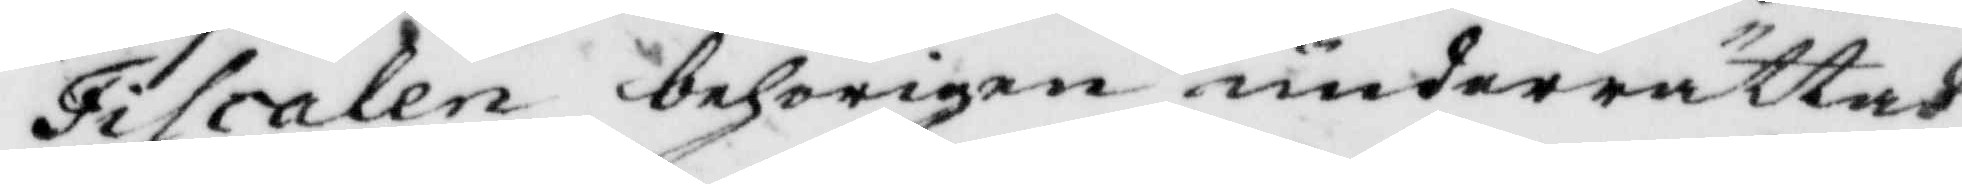Fiscalen behörigen underrättas
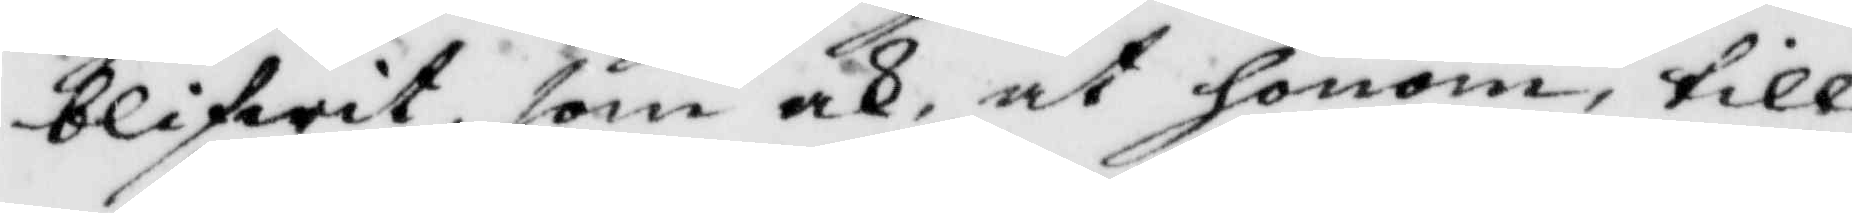blifwit, som ok at honom, till
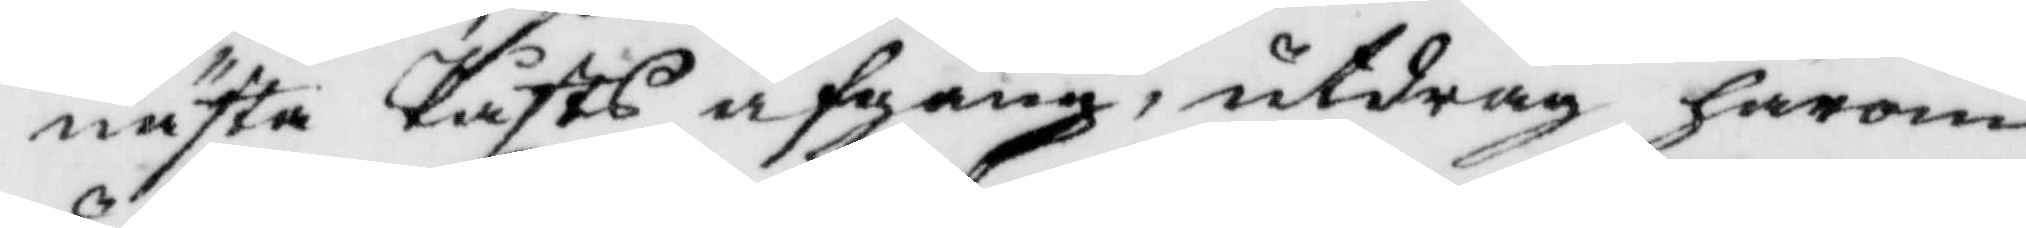nästa Påsts afgång, utdrag härom
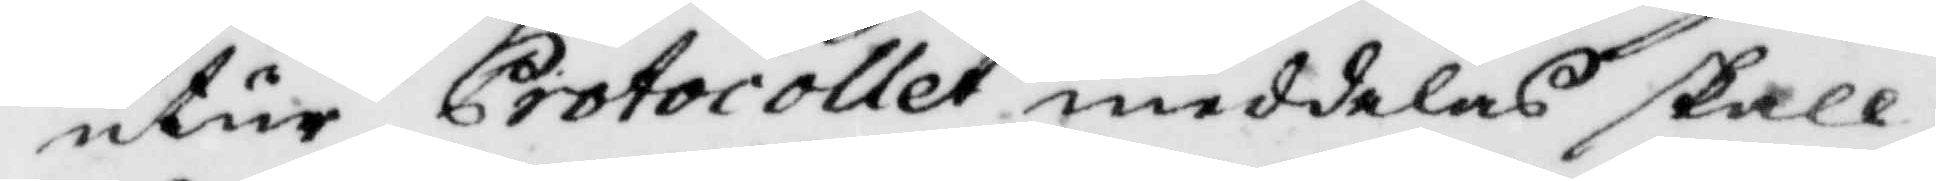utur Protocollet meddelas skall,
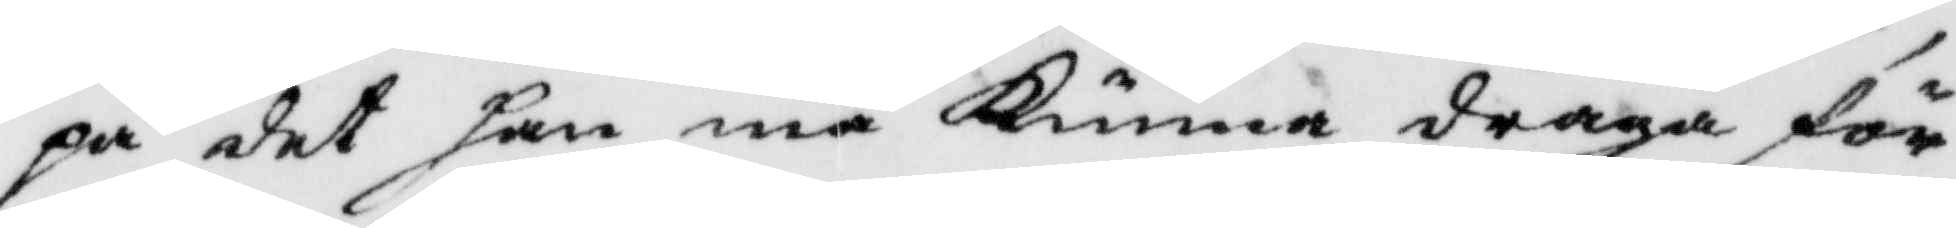på det han må Kunna draga för¬
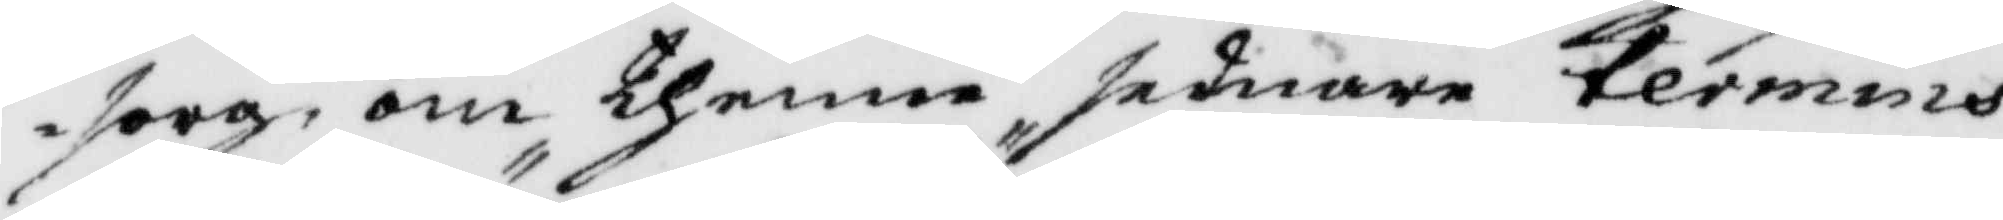sorg om thenna sednare termins
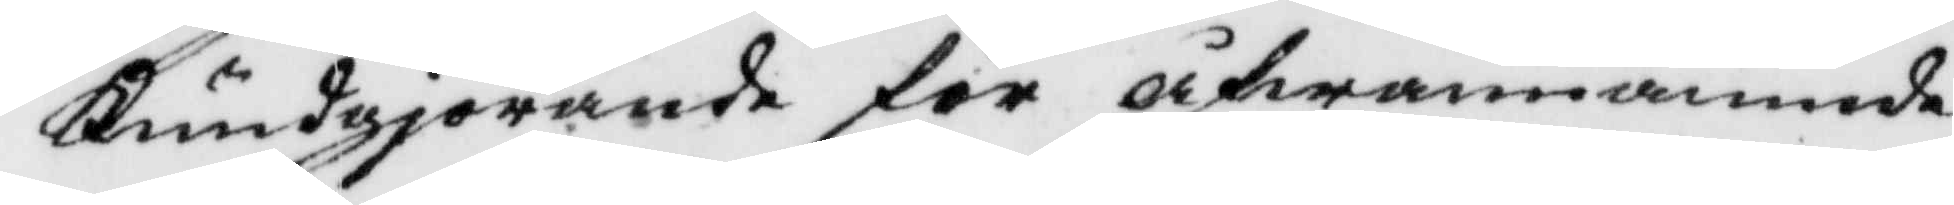Kundgjörande för åfwannämnde
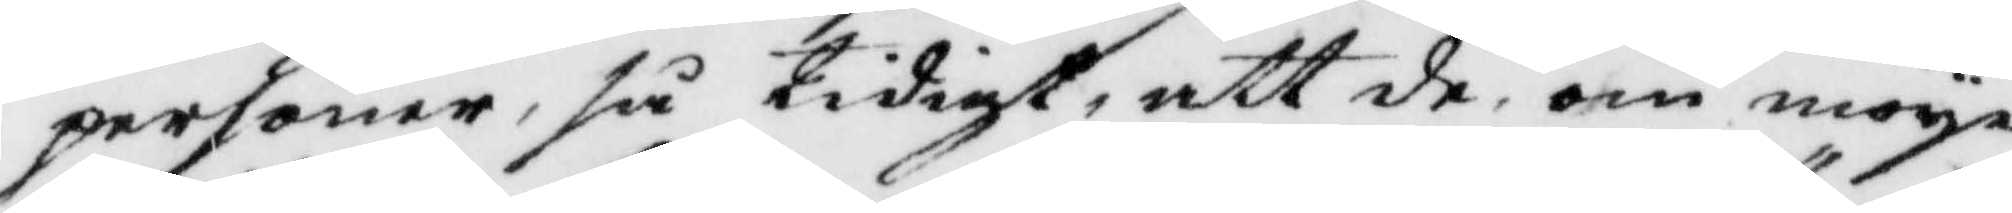personer, så tidigt, att de om möye¬
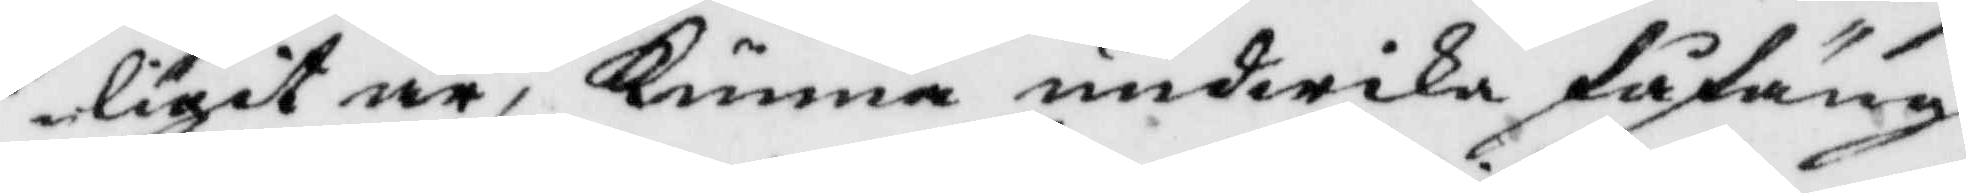ligit är, Kunna undwika fåfäng
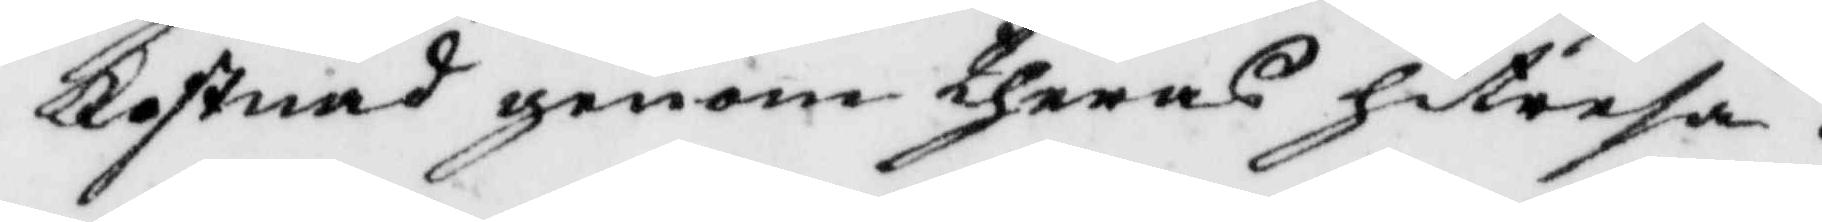Kostnad genom theras hitresa.
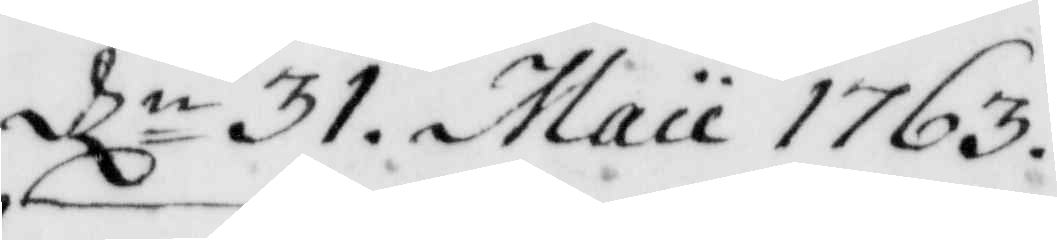dle 31, Maii 1763.
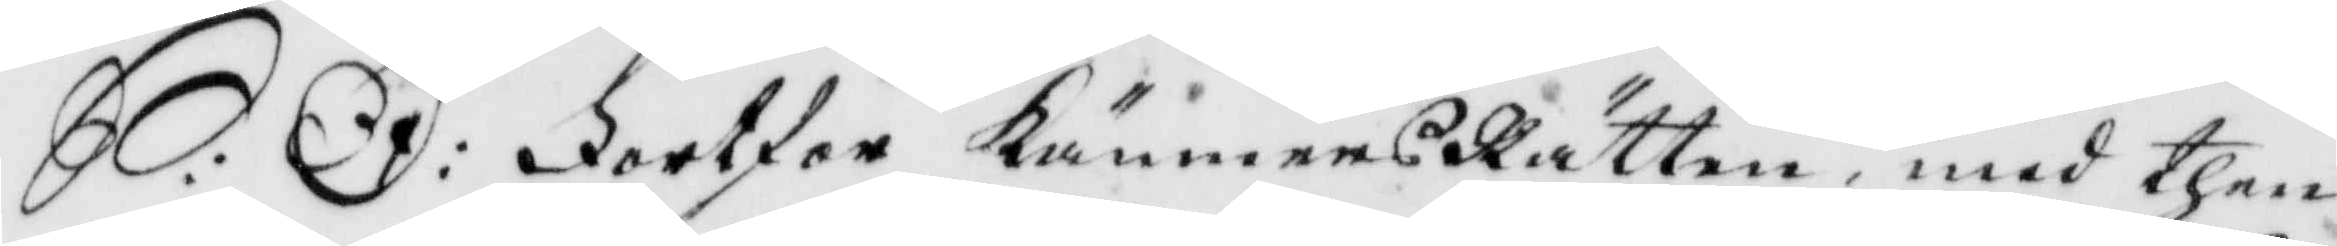S: D: Fortfor KämnersRätten med then
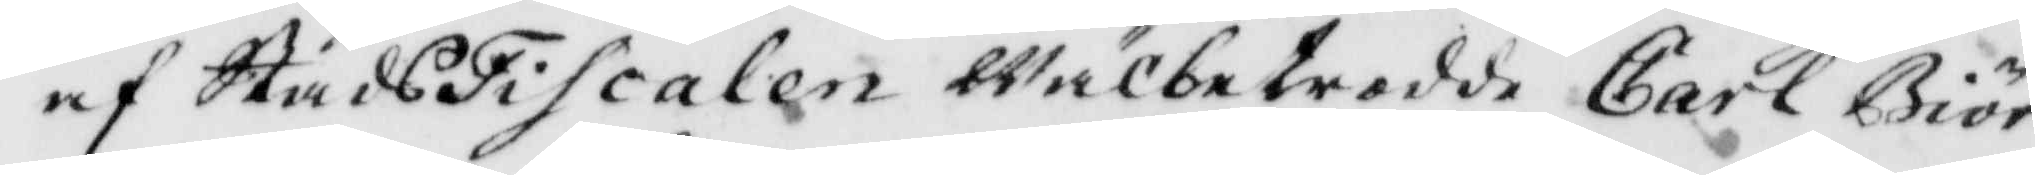af StadsFiscalen wälbetrdde Carl Biör¬
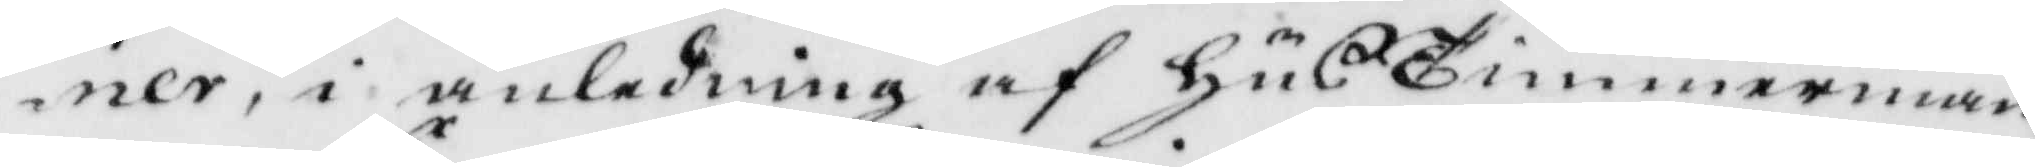ner, i anledning af husTimmerman¬
